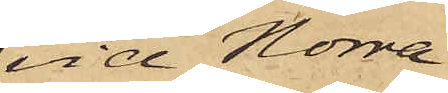vid Norra
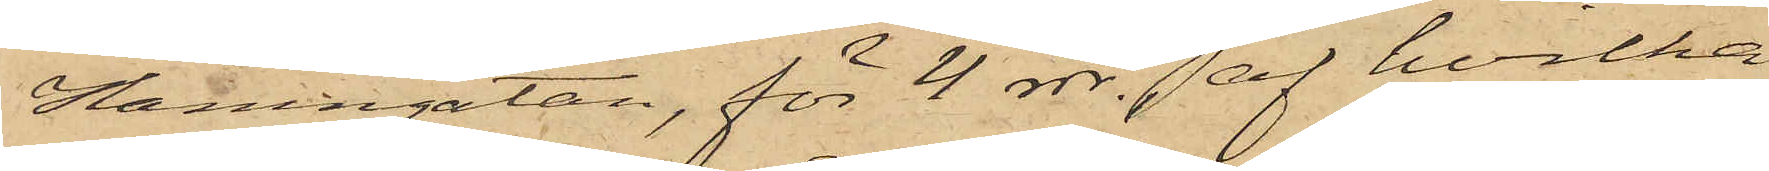Hamngatan, för 4 rdr. af hvilka
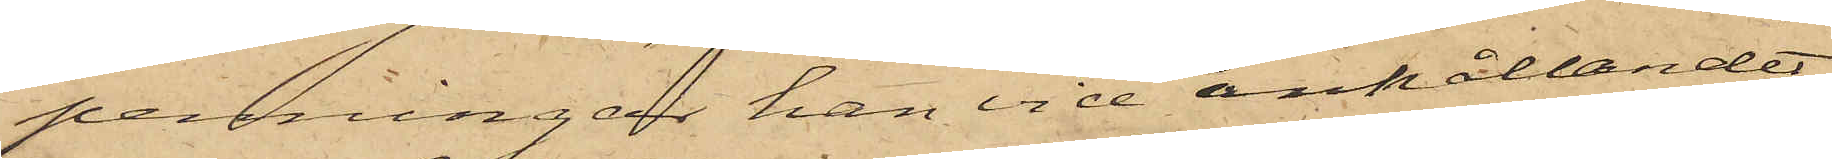penningar han vid anhållandet
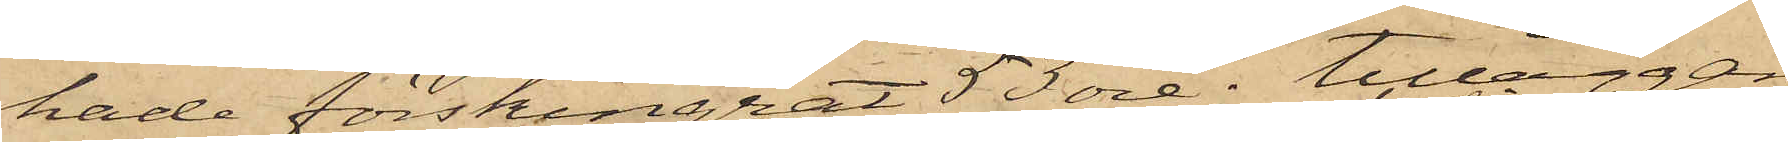hade förskingrat 53 öre; tilläggan¬
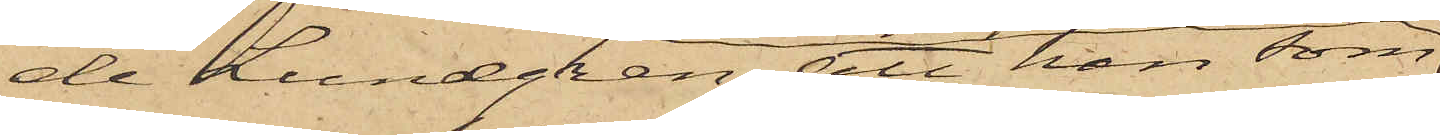de Lundgren att han som
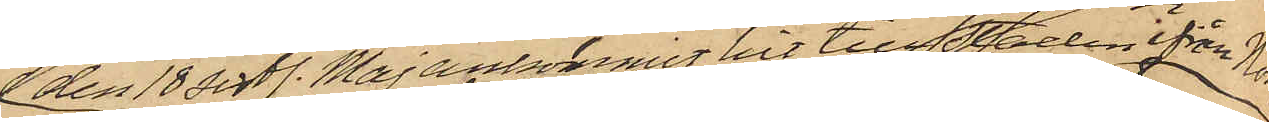den 18 sistl. Maj ankommer hit till Staden ifrån Norige
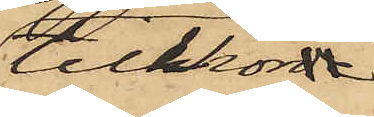tillhörde
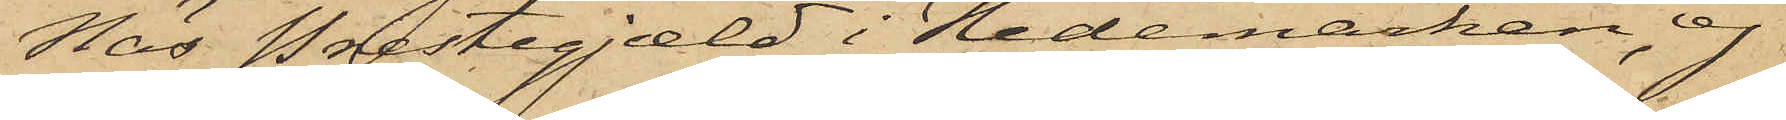Näs Prestegjæld i Hedemarken, ej
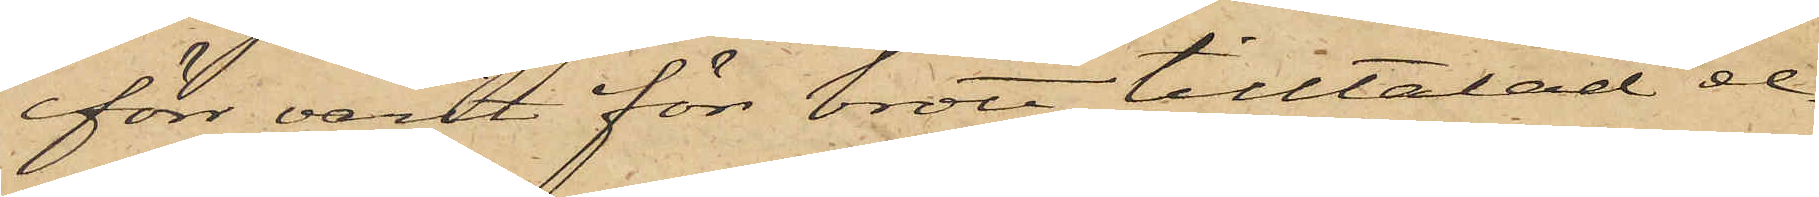förr varit för brott tilltalad el¬
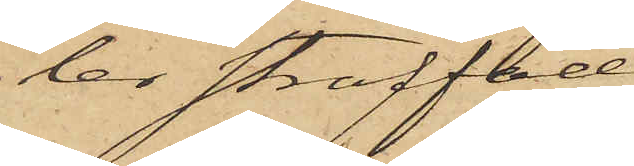ler straffad.
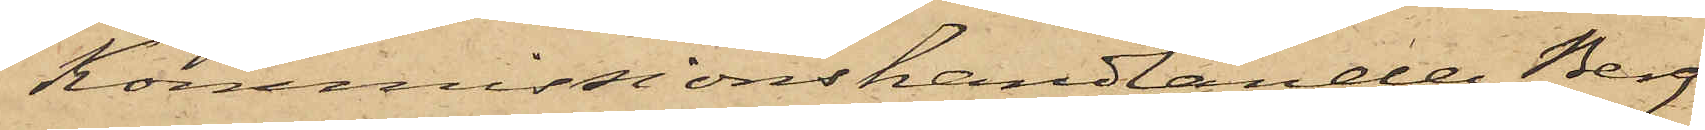Kommissionshandlanden Berg
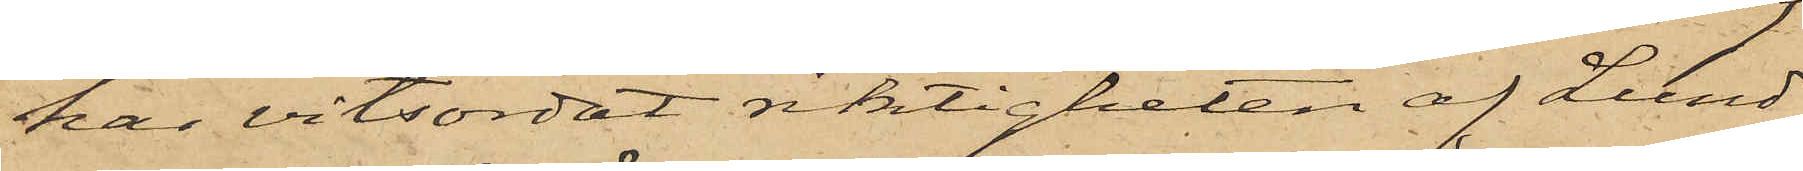har vitsordat riktigheten af Lund¬
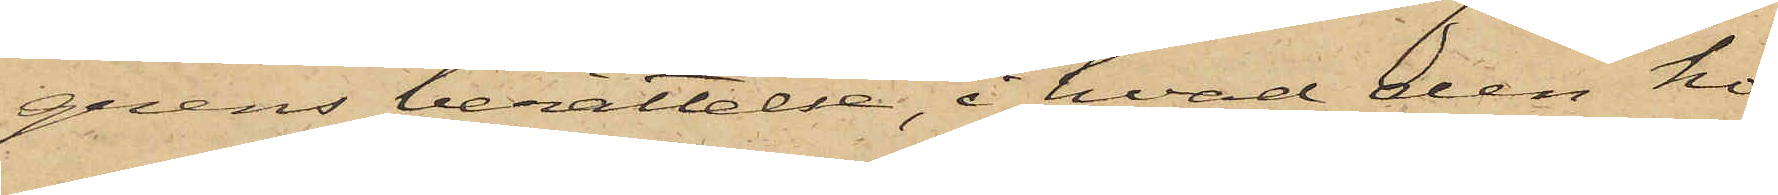grens berättelse, i hvad den ho¬
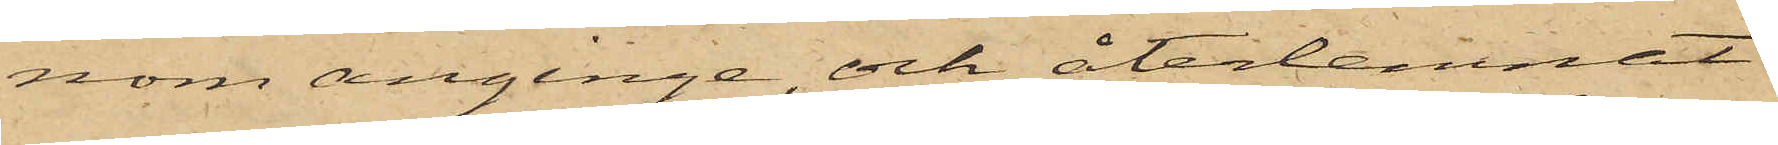nom anginge, och återlemnat
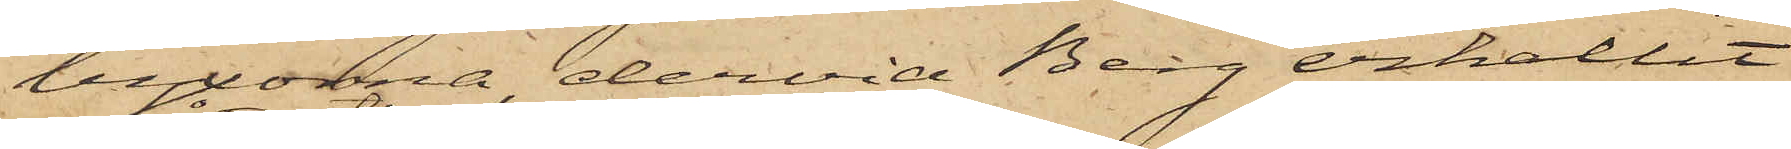byxorna, dervid Berg erhållit
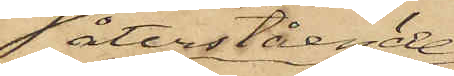återstående
